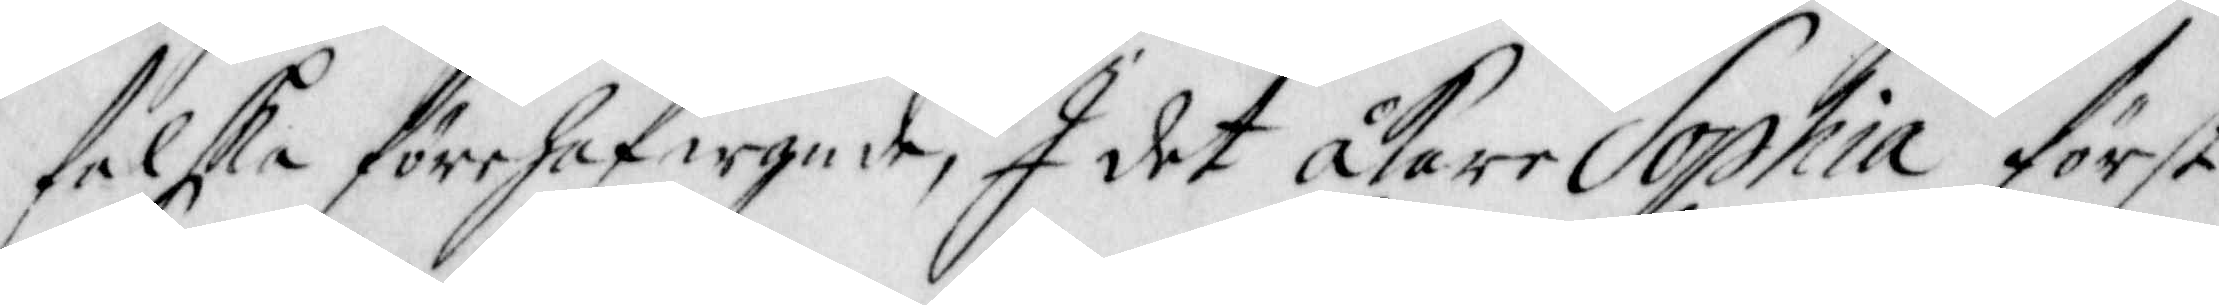falska förehafwande, I det Åkare Sophia först
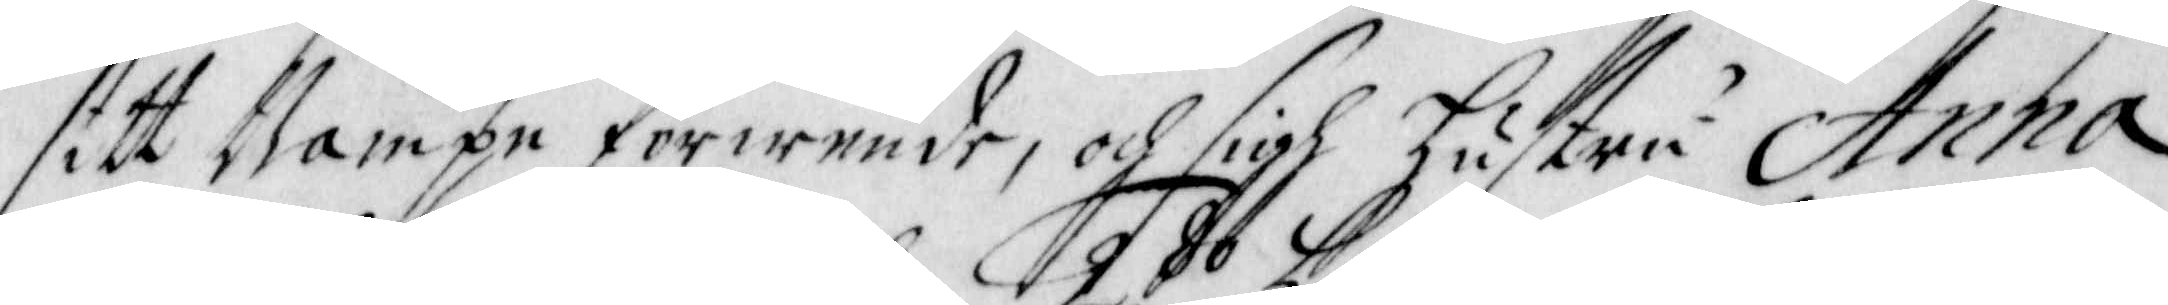sitt Nampn förwende, och sigh Hustru Anna
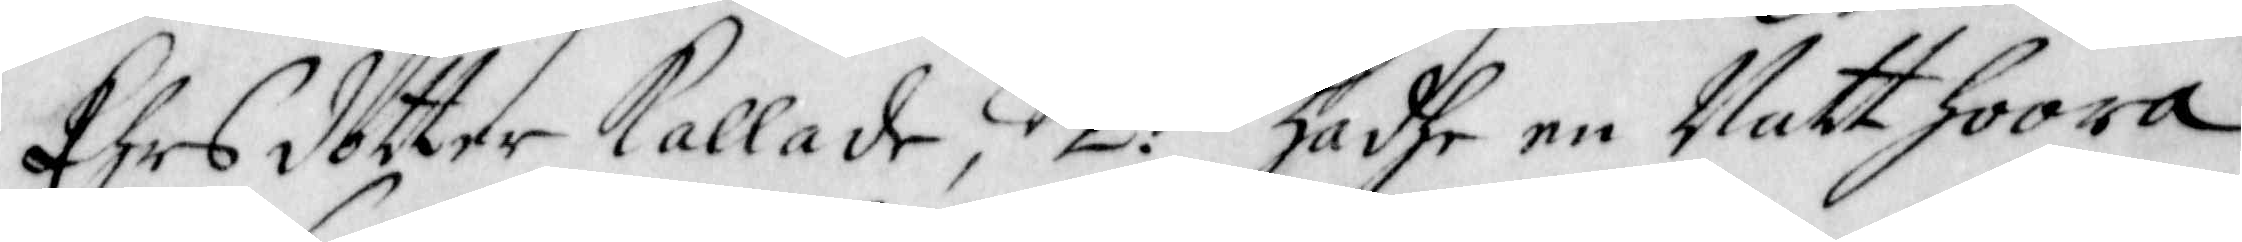Ehrs dotter kallade, 2:do hadhe en Natthoora
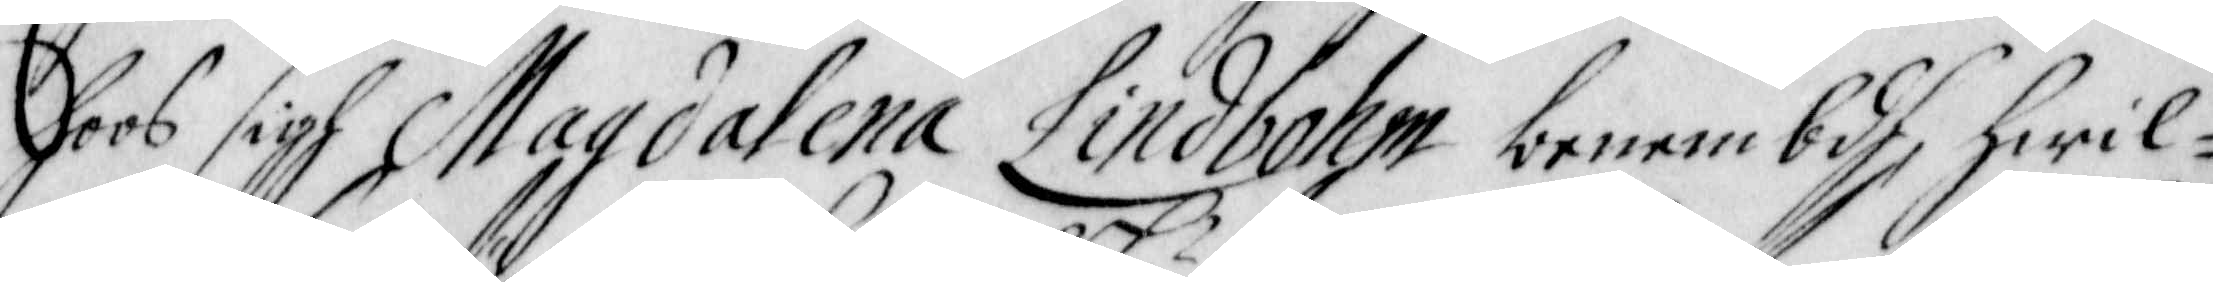hoos sigh Magdalena Lindbohm benembdh, hwil¬
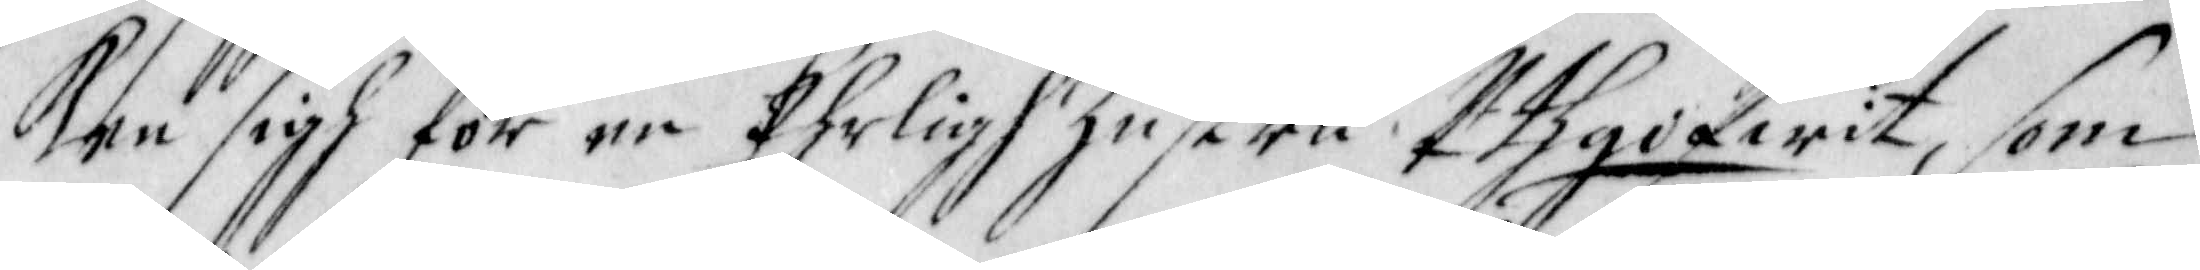ken sigh för en Ehrligh Hustru Uthgifwit, som
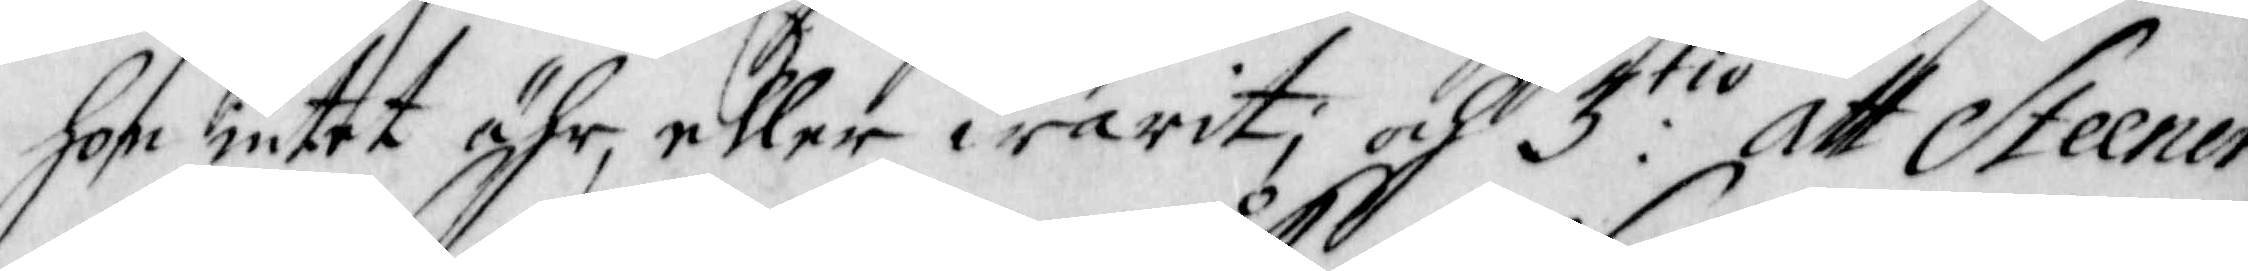hon intet ähr, eller warit; och 3:tio Att Steener
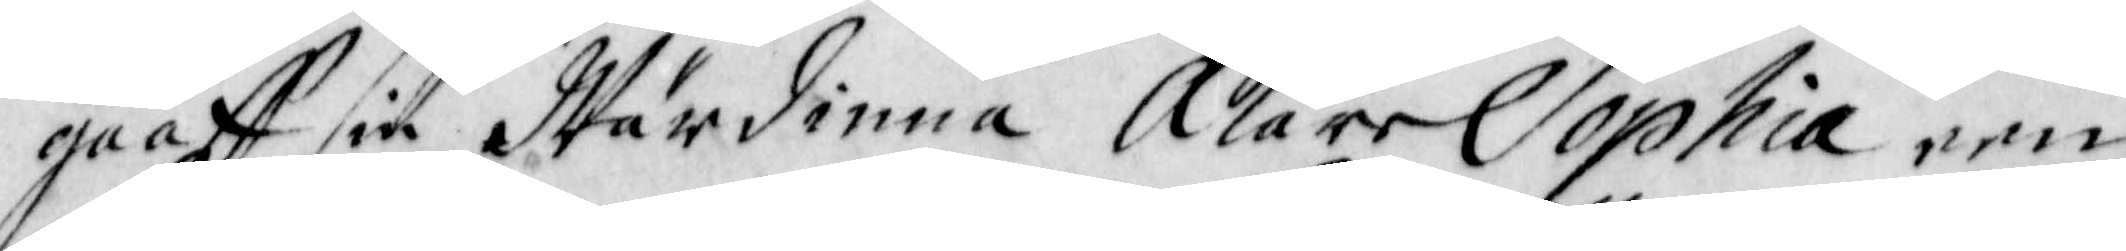gaaff sin Wärdinna Åkare Sophia een
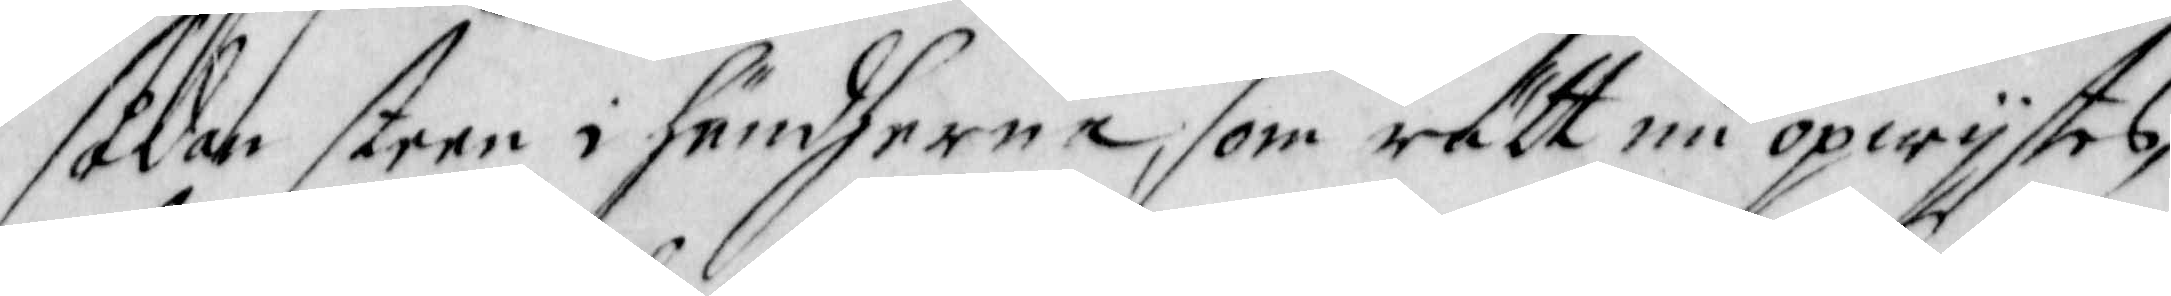sådan steen i händherna, som rätt nu opwijstes,
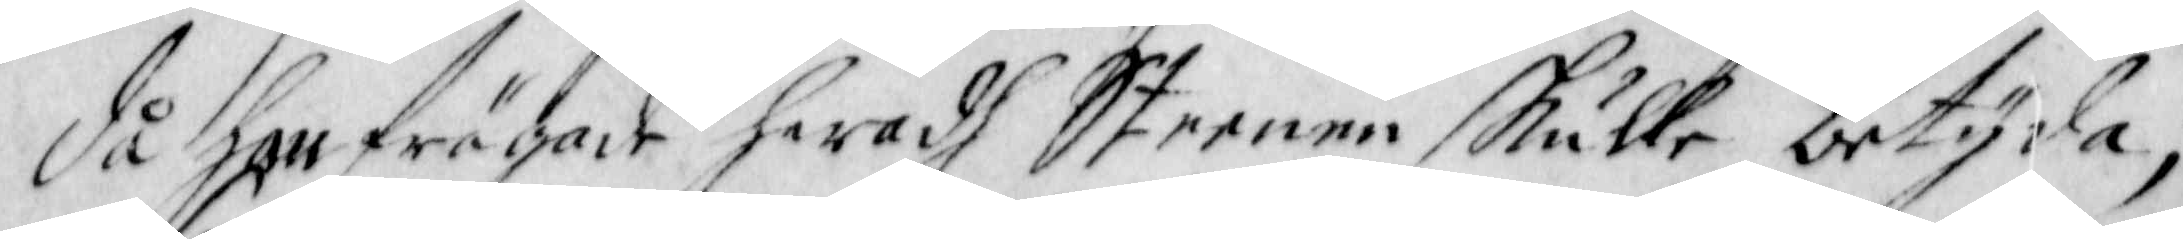Då hon frågade hwadh Steenen skulle betyda;
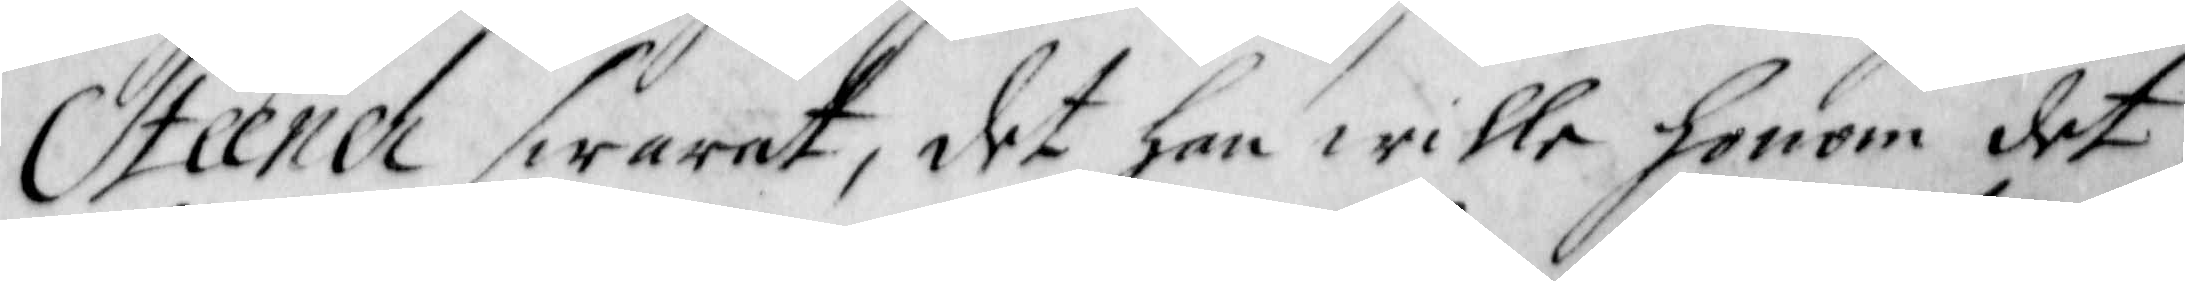Steener swarat, det hon wille honom det
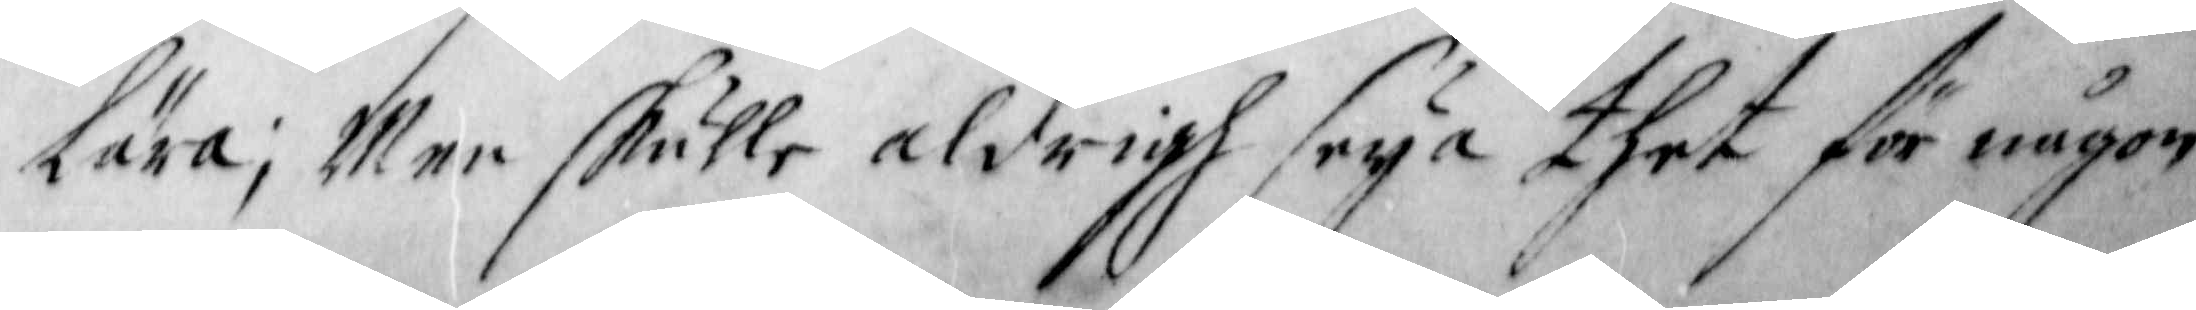Lära; Men skulle aldrigh seya thet för någon
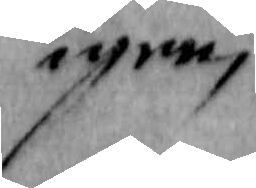igen,
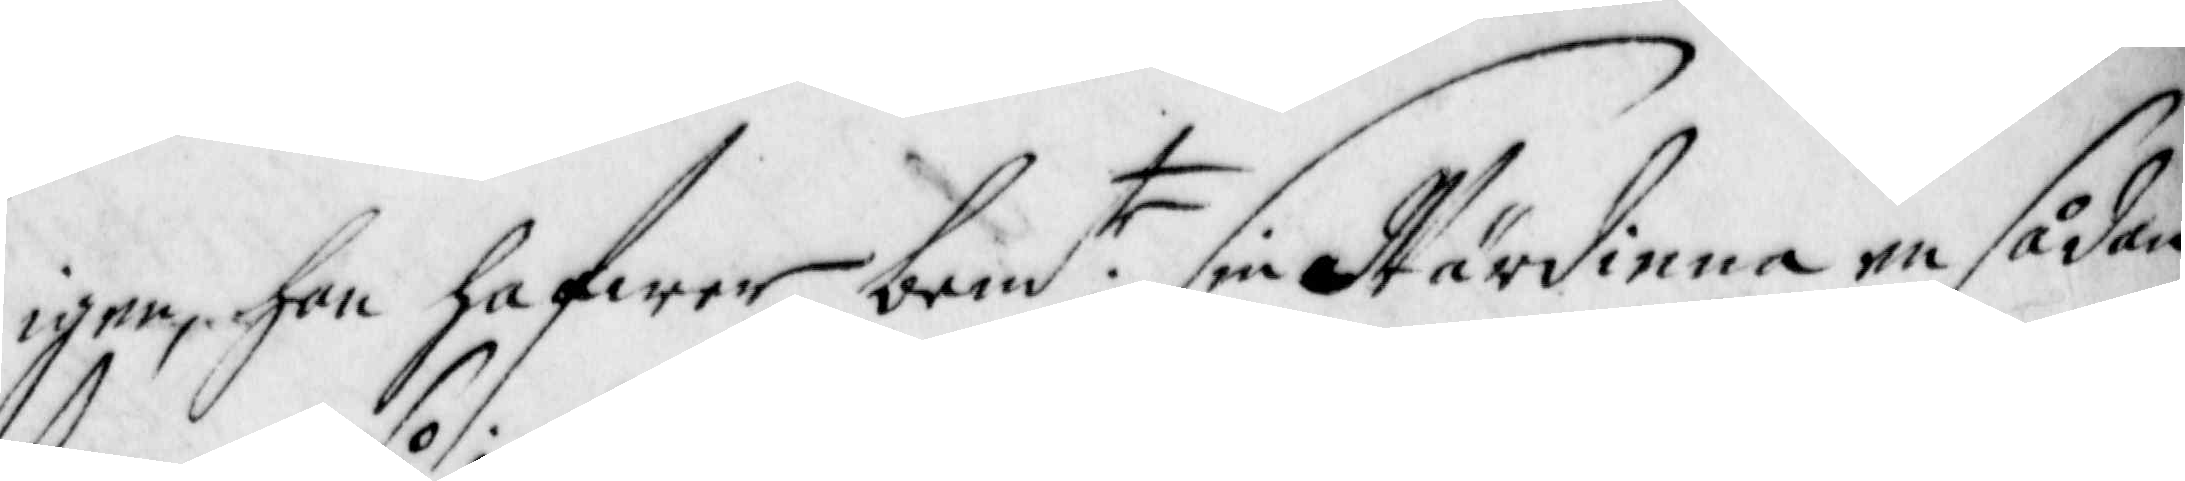igen, han hafwer bem:te sin Wärdinna en sådan
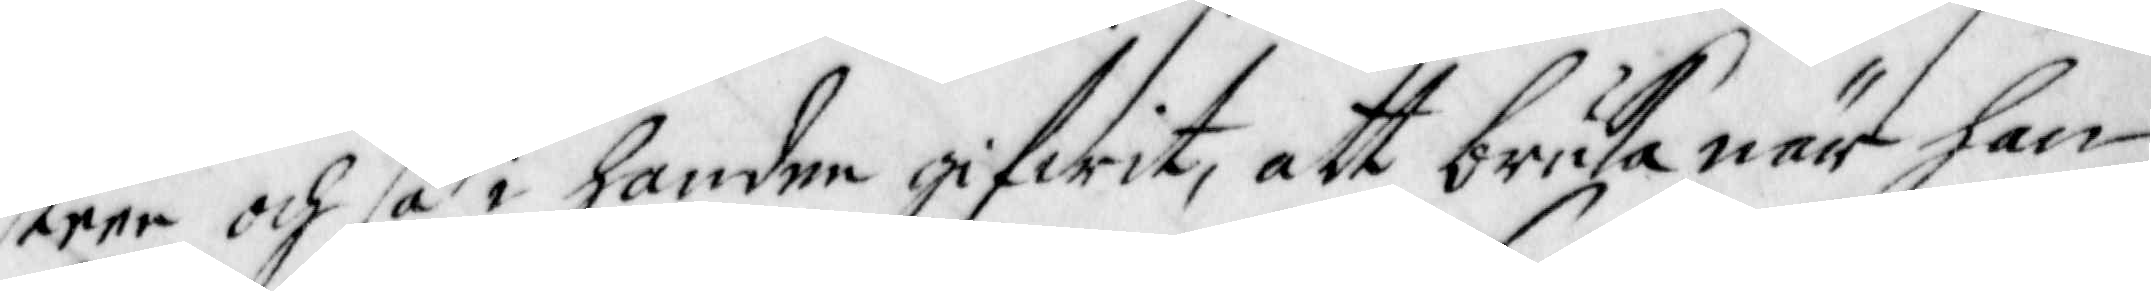steen och så i handen gifwit, att bruka när han
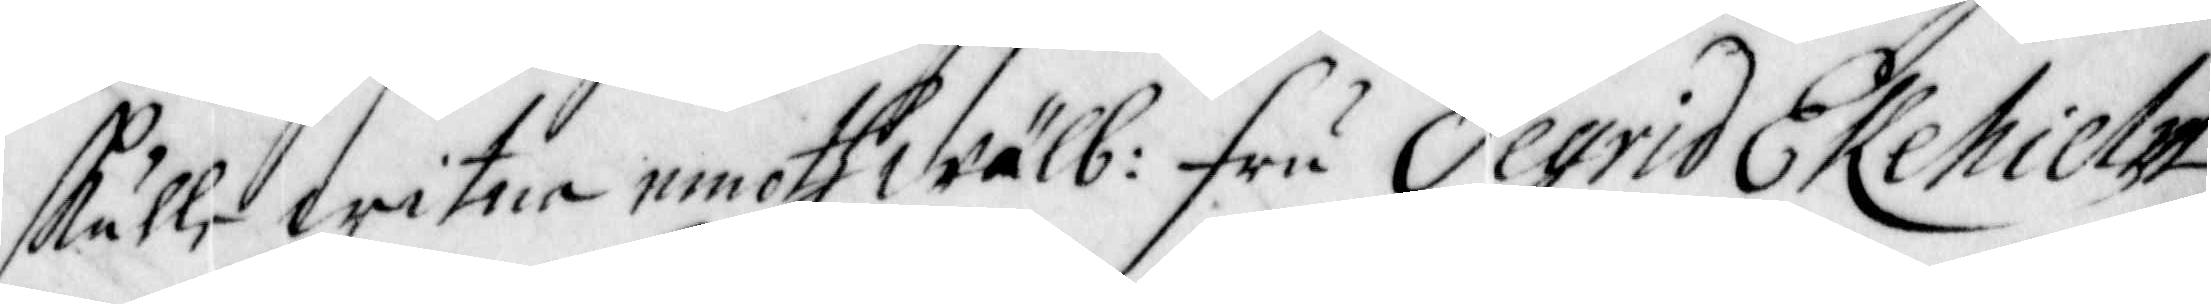skulle witna emoth wälb: Fru Segrid Ekehielm,
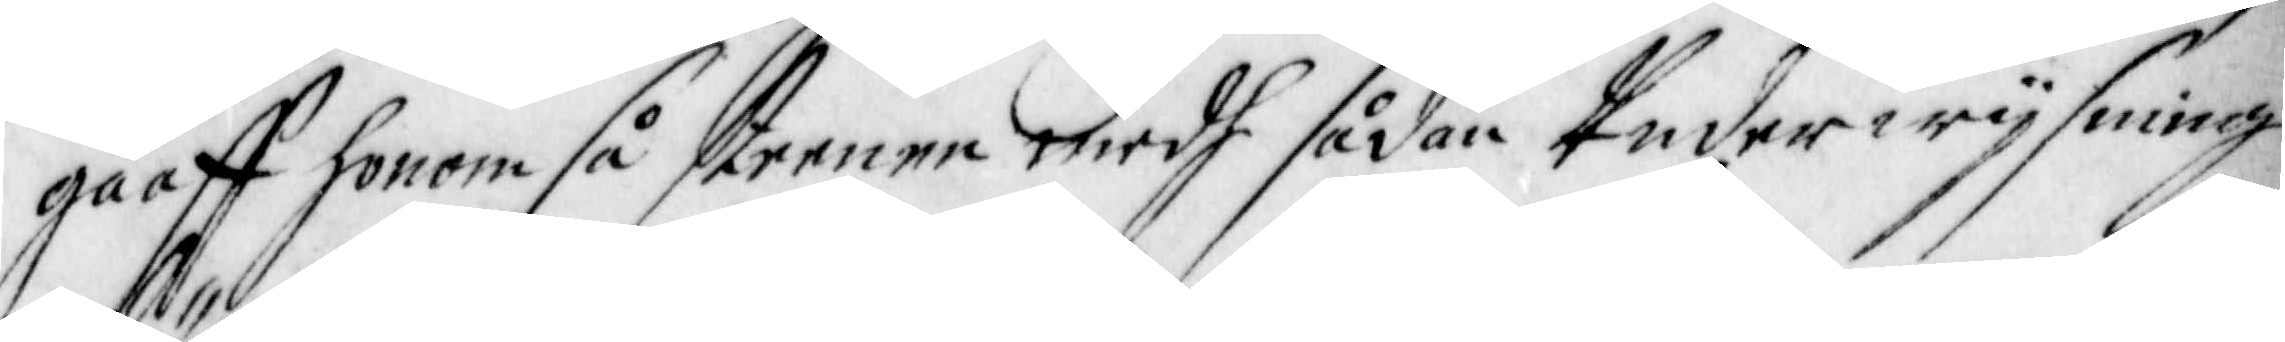gaaff honom så steenen medh sådan Underwijsning
